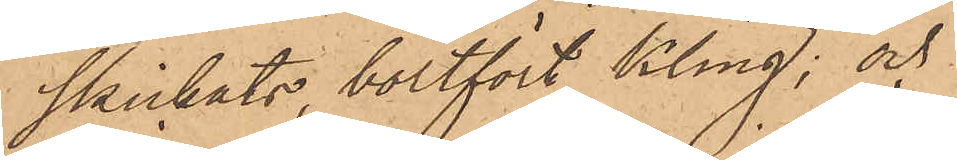skickats, bortfört Kling; och
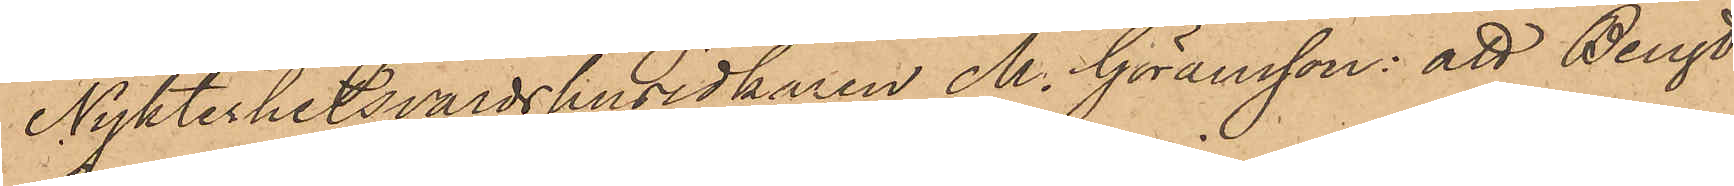Nykterhetsvärdshusidkaren M. Göransson: att Bengt
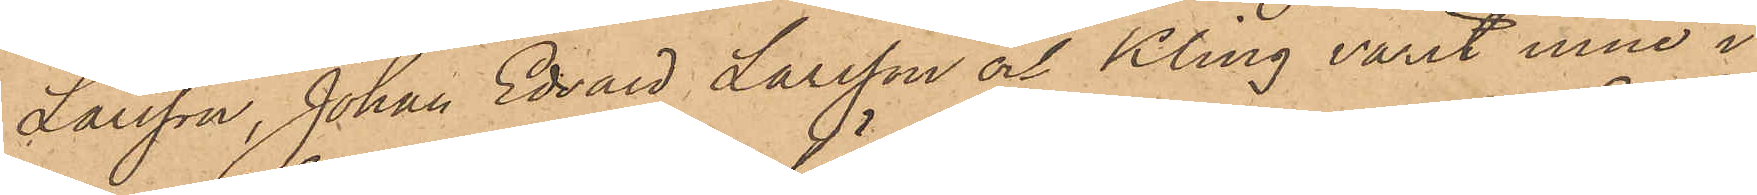Larsson, Johan Edvard Larsson och Kling varit inne i
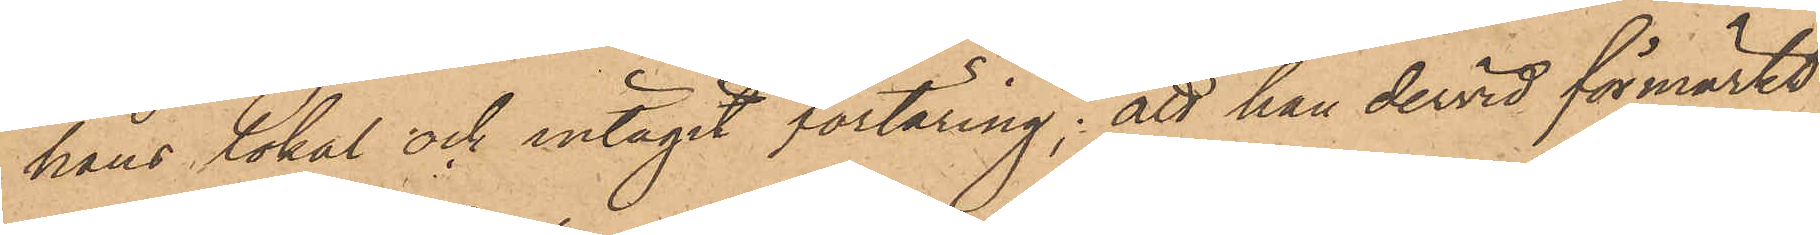hans lokal och intagit förtäring; att han dervid förmärkt
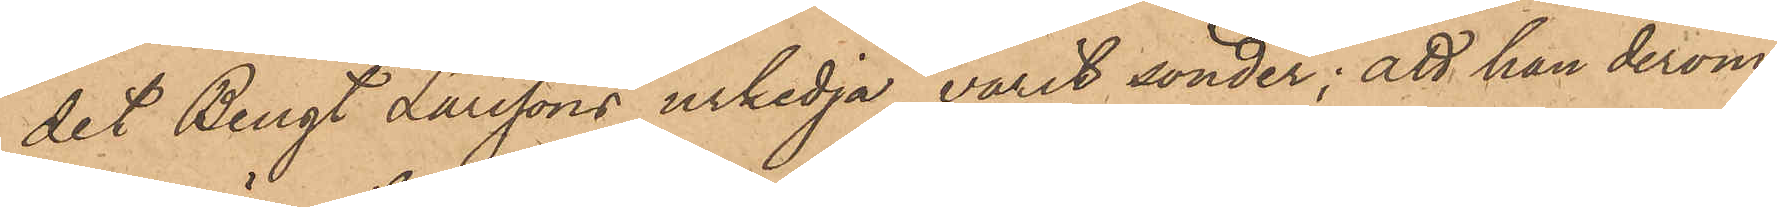det Bengt Larssons urkedja varit sönder; att han derom
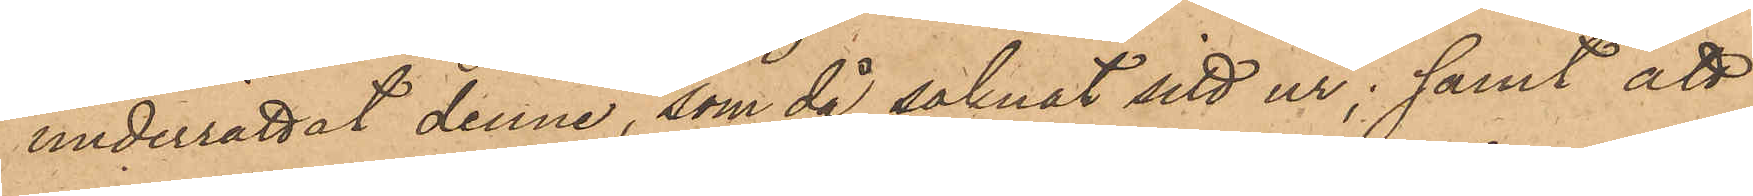underrättat denne, som då saknat sitt ur; samt att
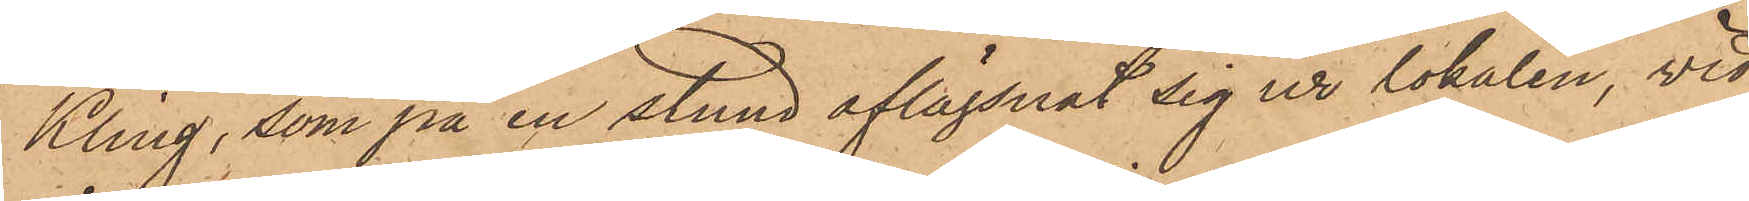Kling, som på en stund aflägsnat sig ur lokalen, vid
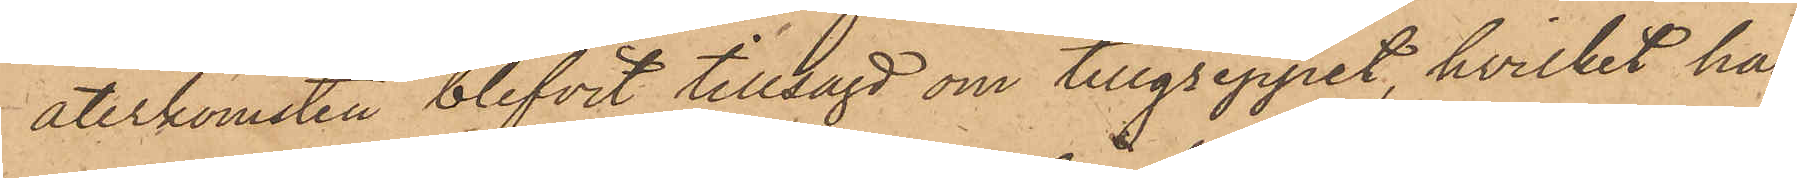återkomsten blifvit tillsagd om tillgreppet, hvilket han
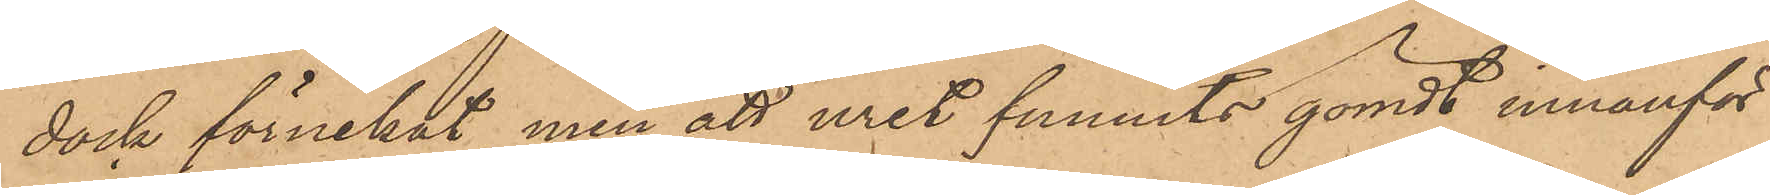dock förnekat, men att uret funnits gömdt innanför
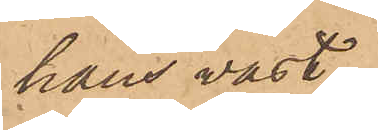hans väst
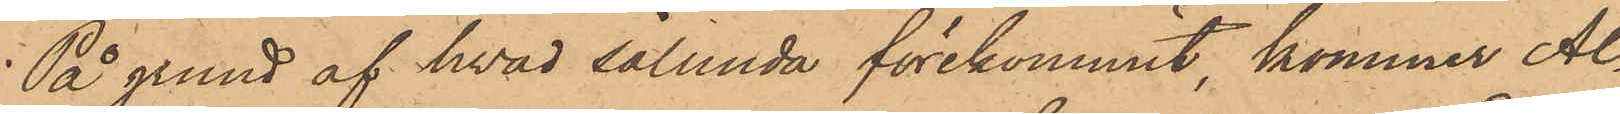På grund af hvad sålunda förekommit, kommer Al¬
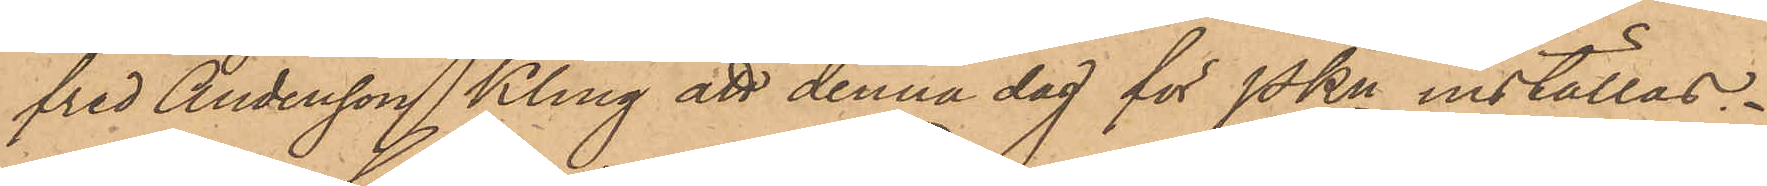fred Andersson Kling att denna dag för PKn inställas.
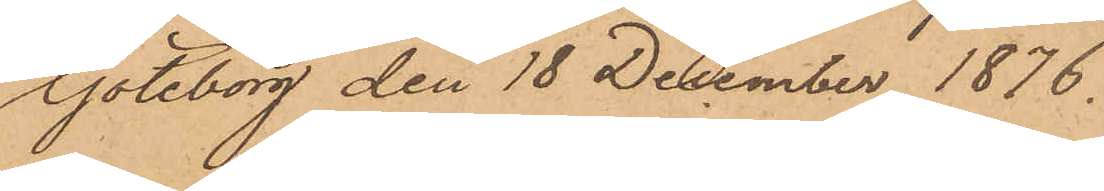Göteborg den 18 December 1876.
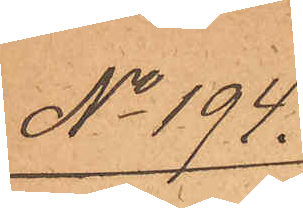No 194.
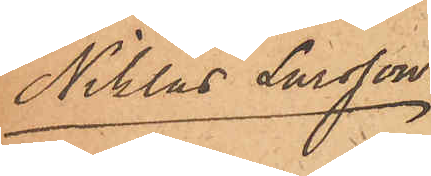Niklas Larsson
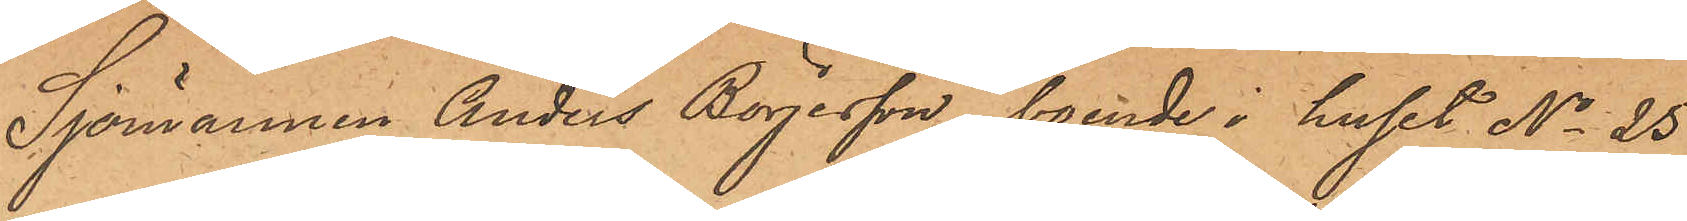Sjömannen Anders Börjesson, boende i huset No 25
